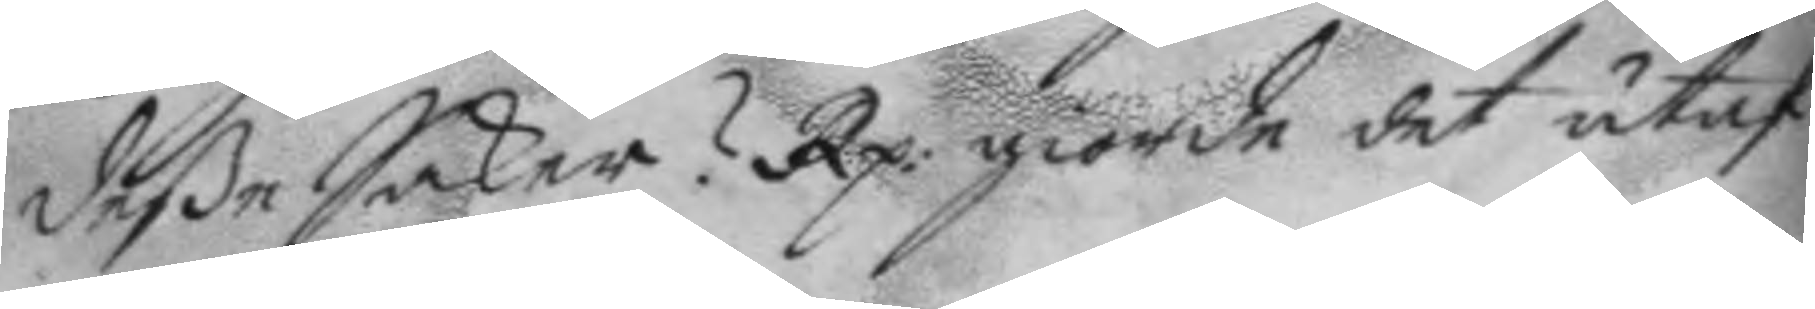deße Saker? Rp. giorde det utaf
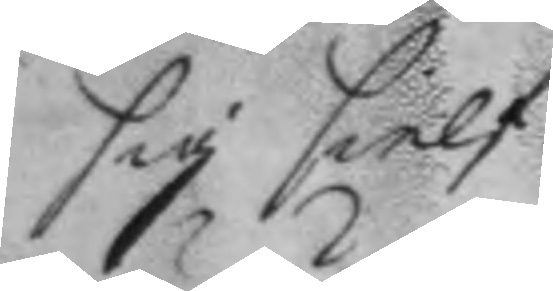sig sielf.
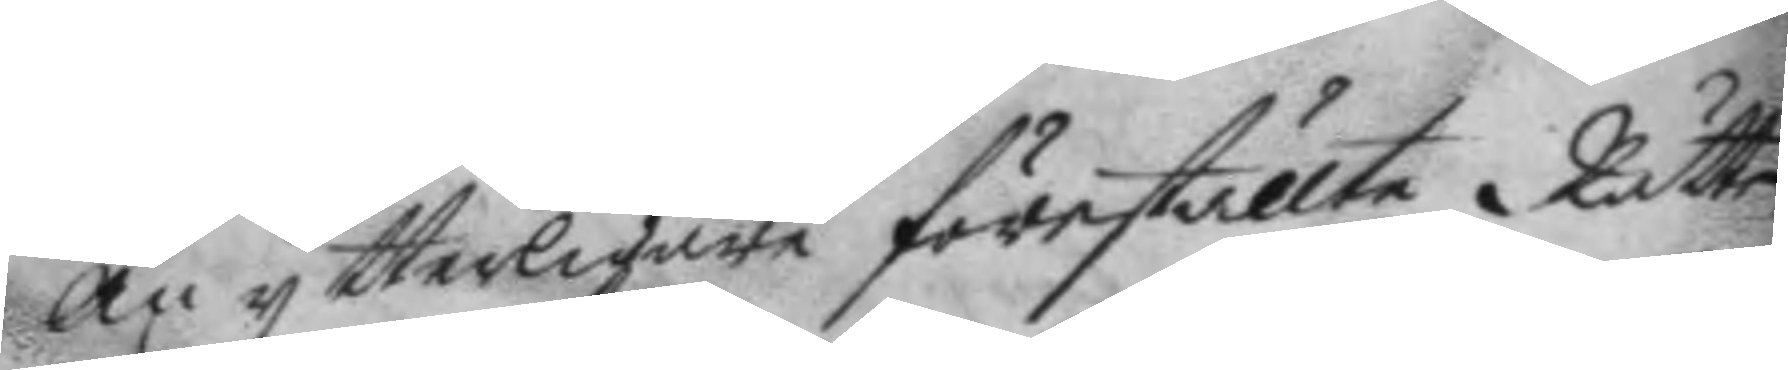Än ytterligare föreställte Rätten
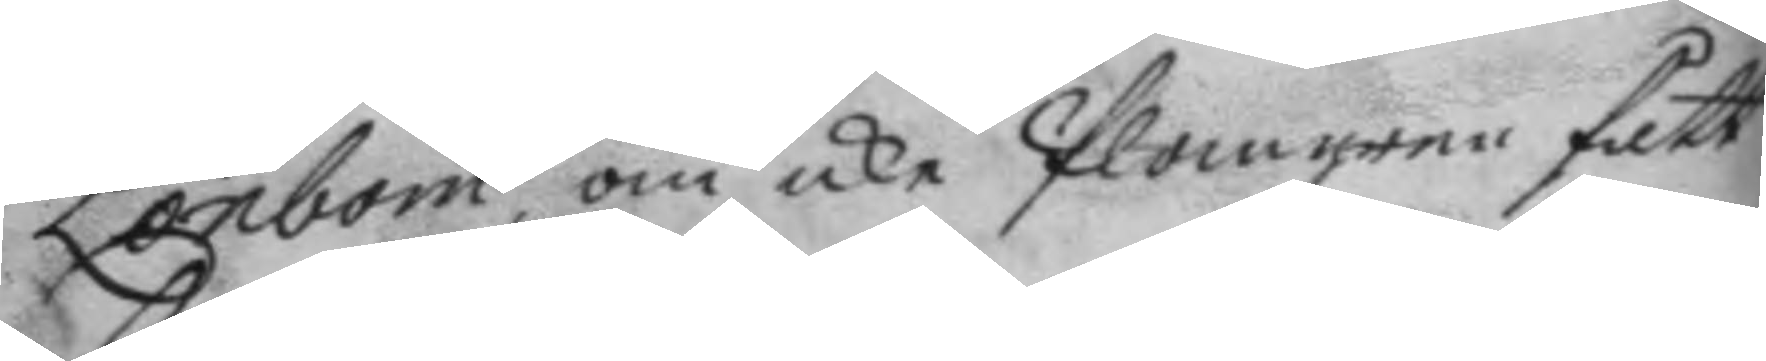Lönbom om icke Plomgren fått
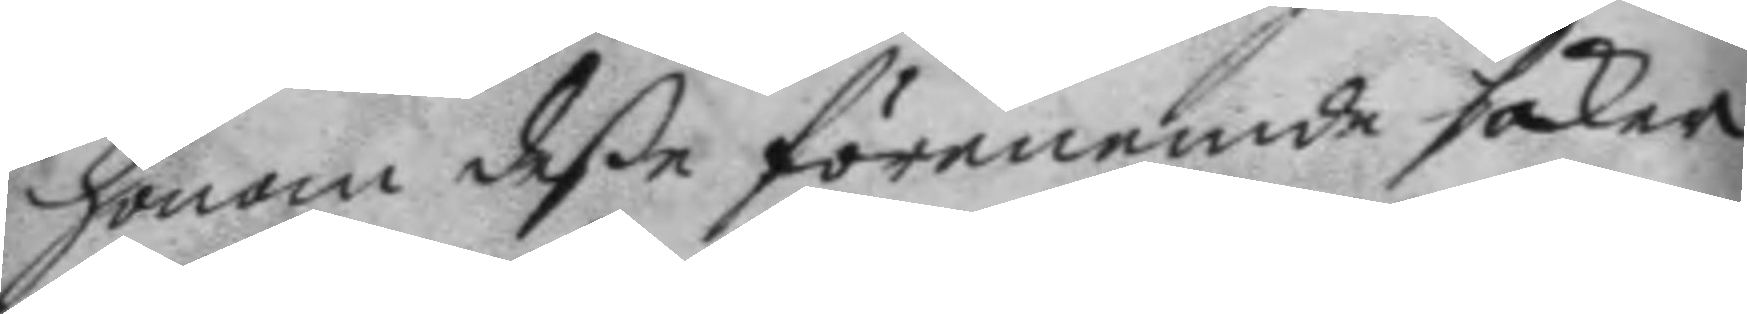honom deße förenemde saker
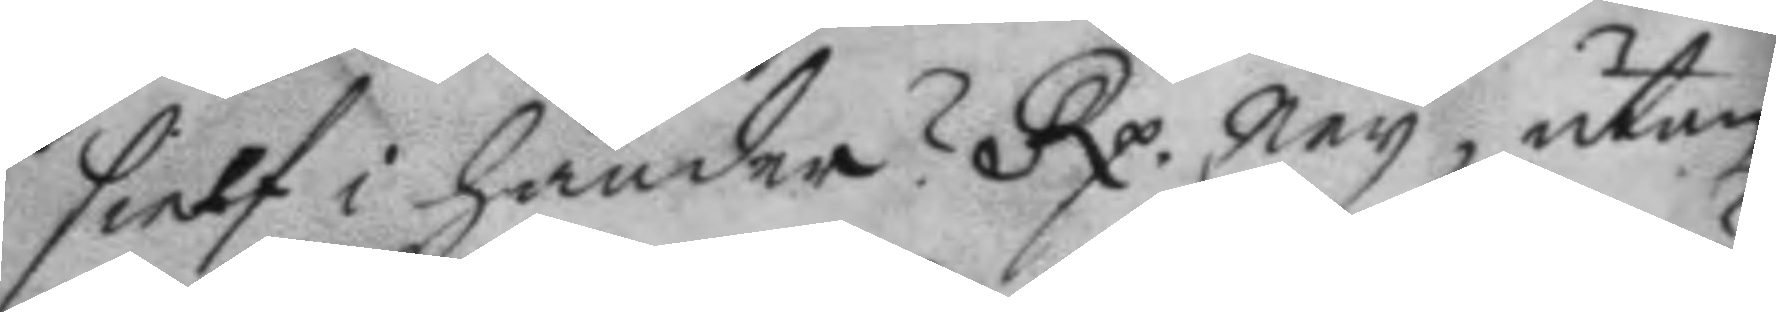sielf i händer? Rp. Ney, utan
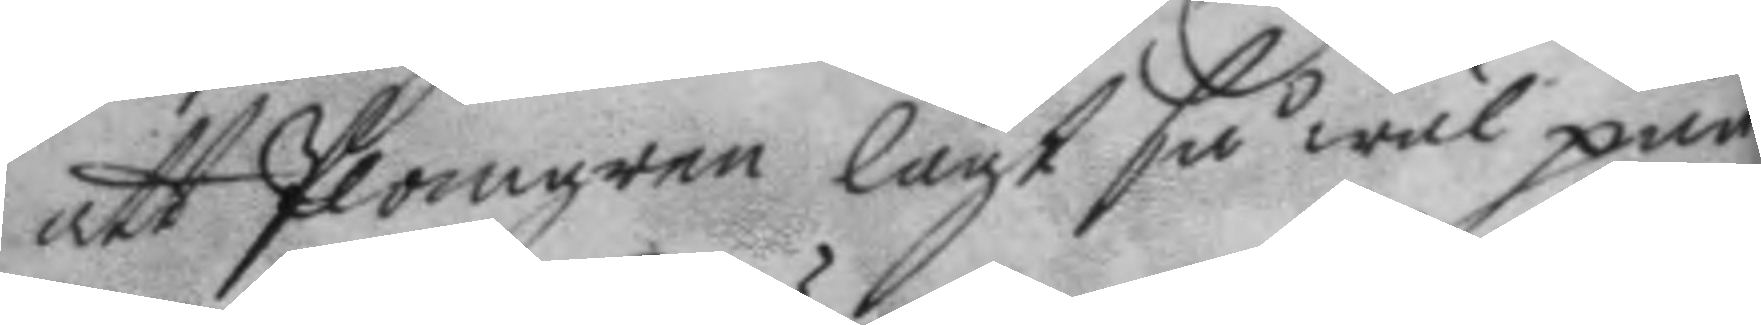att Plomgren lagt så wäl pun¬
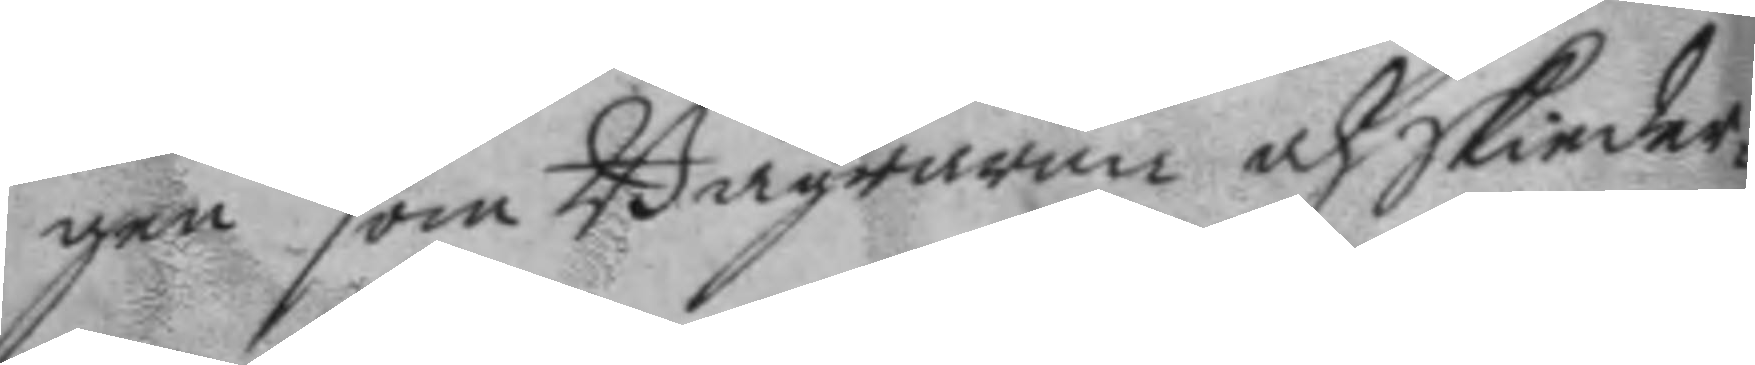gen som Bägrarna och Skiedar¬
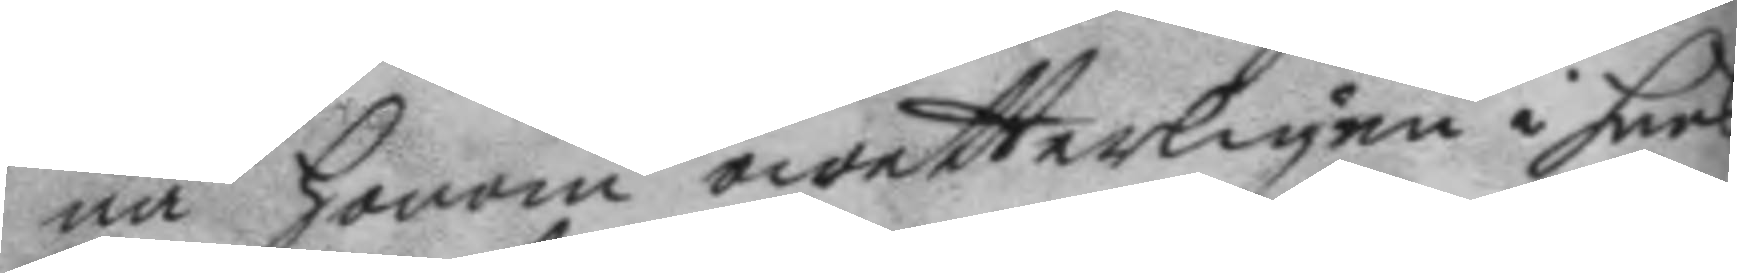na honom owetterligen i hans
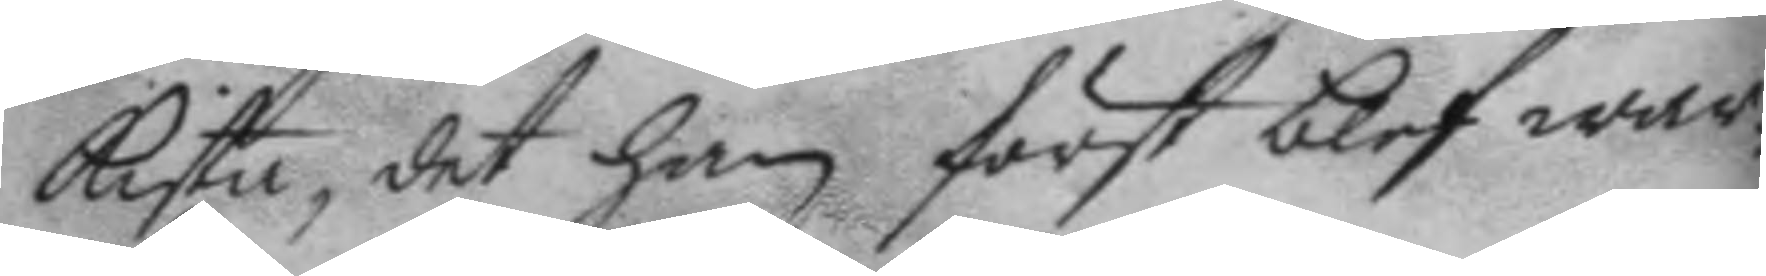kista, det han först blef war¬
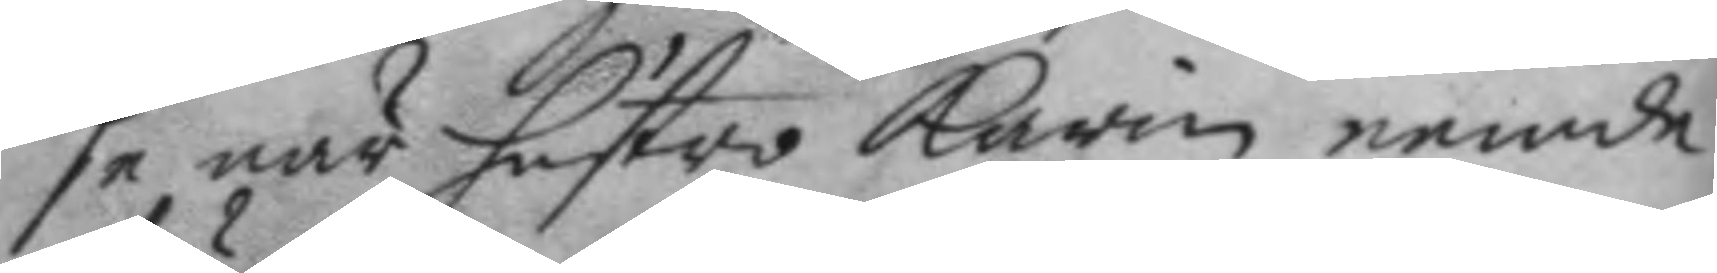se när hustro Karin nemnde
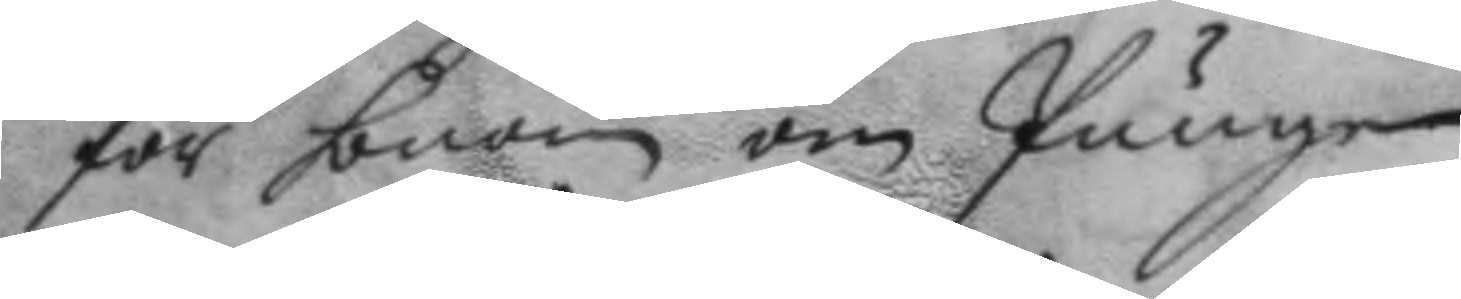för honom om Pungen.
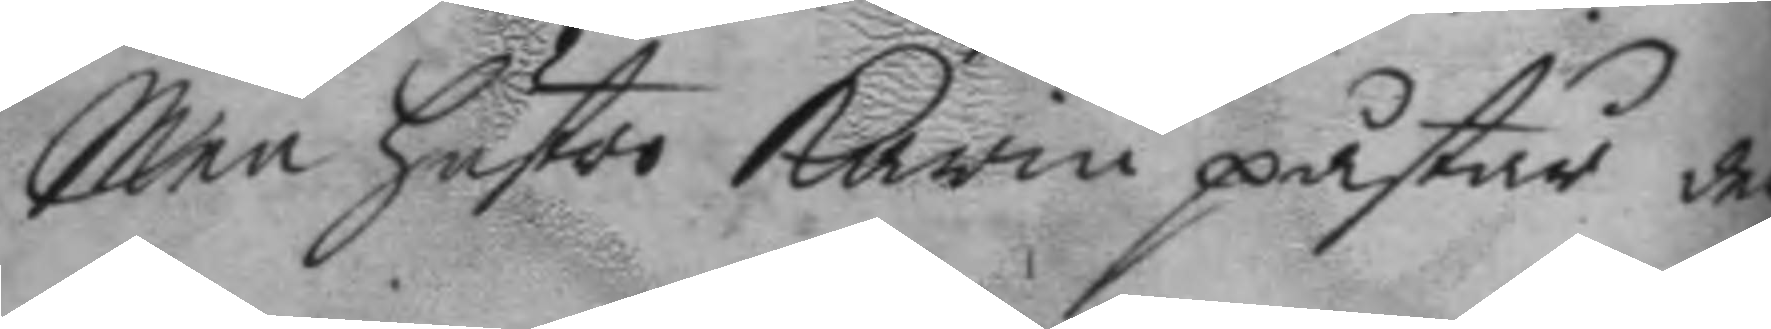Men hustro karin påstår der
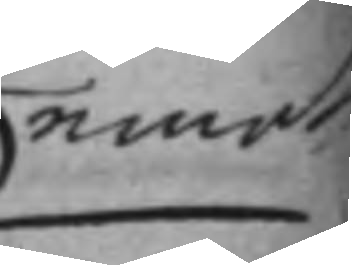emot
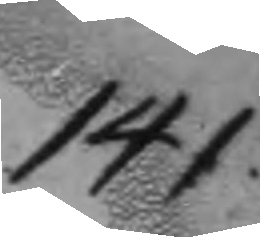141.
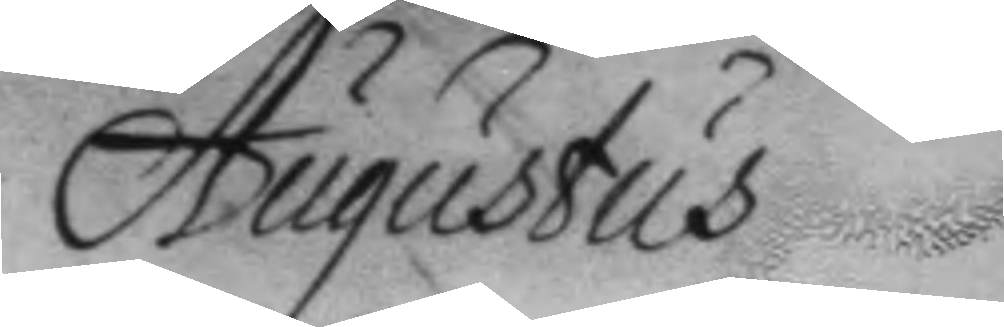Augustus
